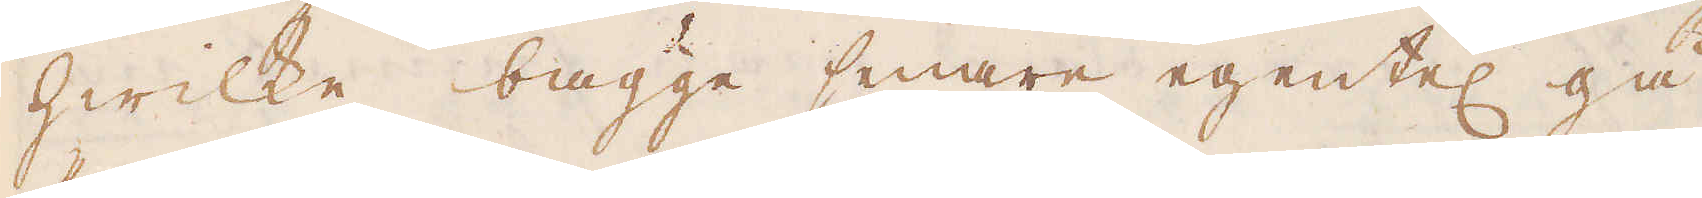hwilke bägge senare egentel gå
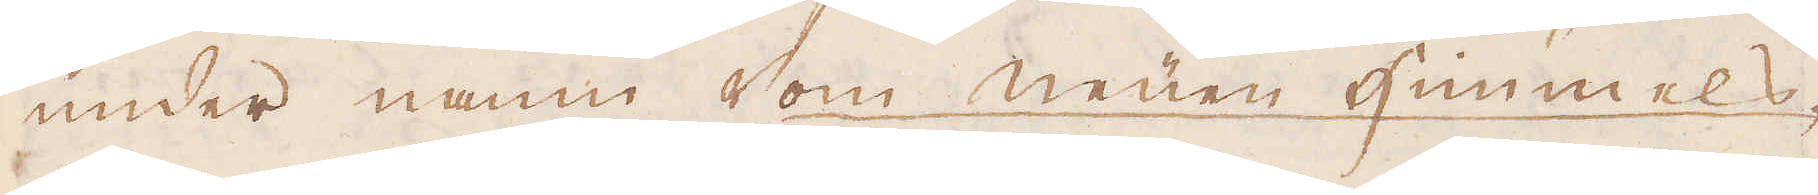under namn som neüen Himmels-
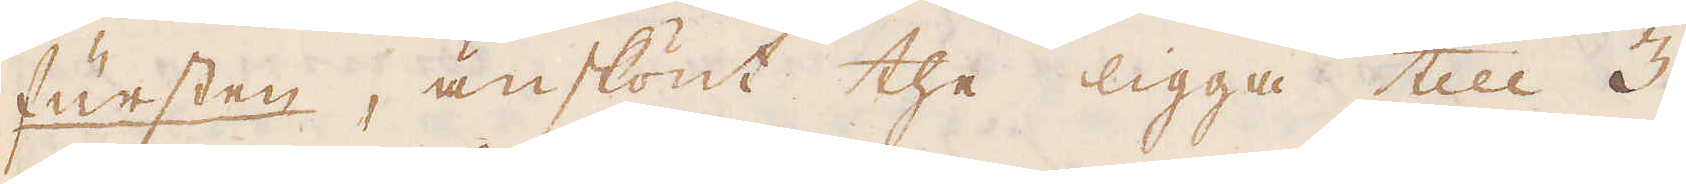fürsten, änskönt the ligga till 3
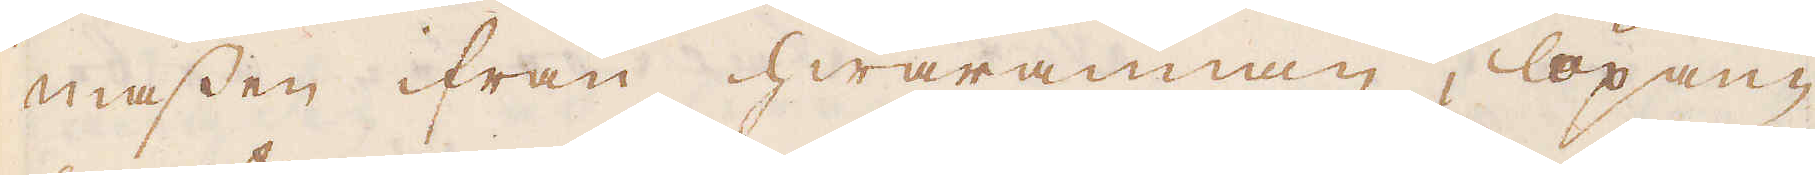massen ifrån hwarannan, löpan-
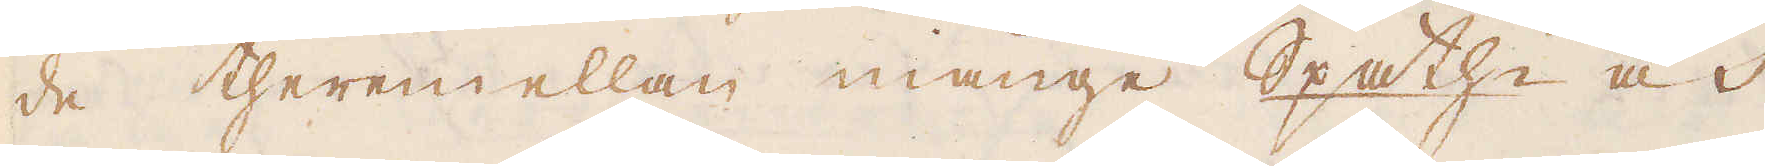de theremellan månge Spathe och
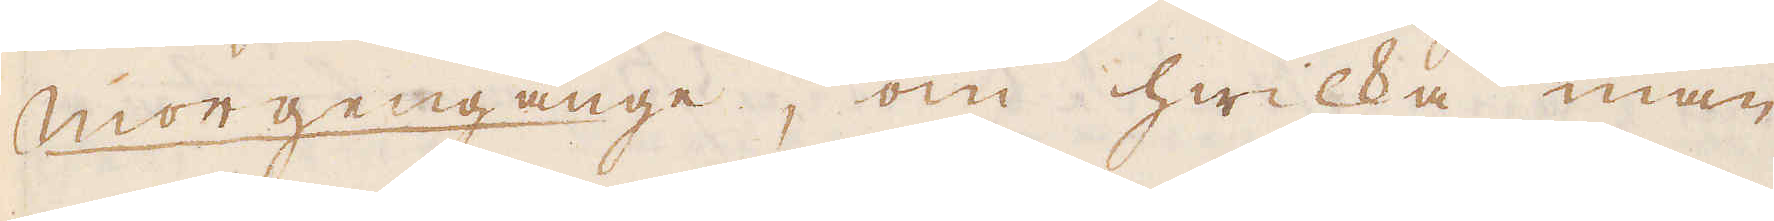Morgengänge, om hwilka man
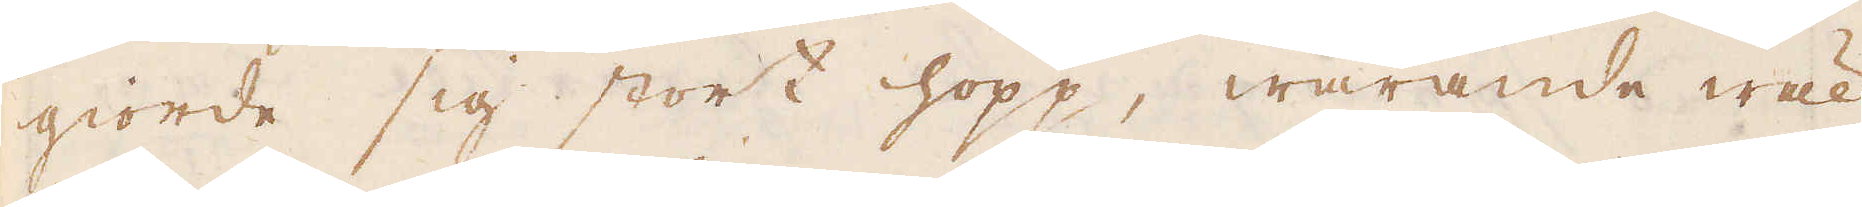giorde sig stort hopp, warande wäl
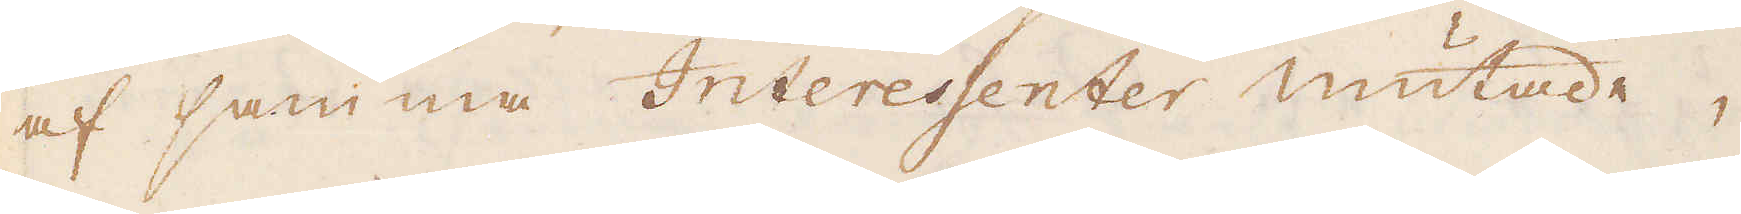af samma Interessenter mutade,
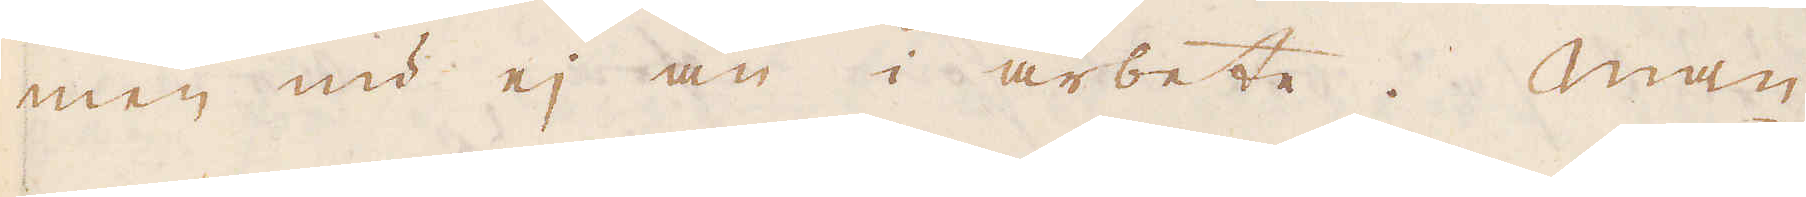men nu ej än i arbete. Man
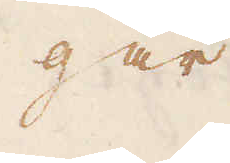går
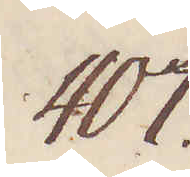407.
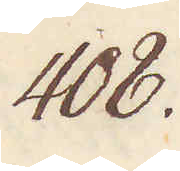408.
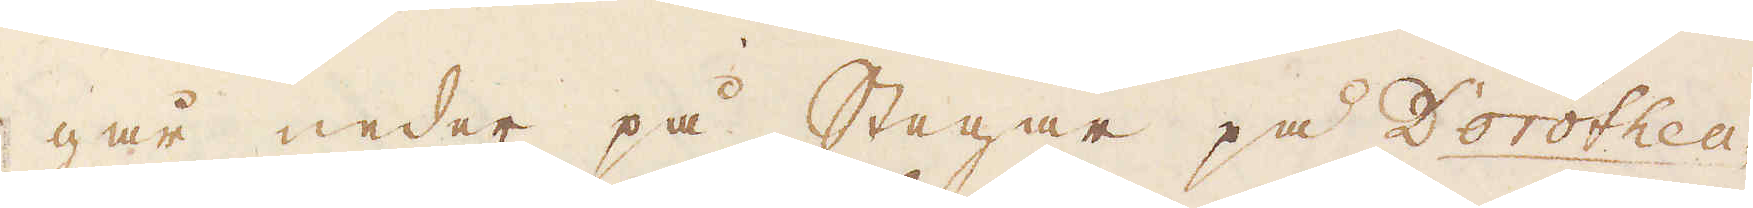går neder på stegar på Dorothea-
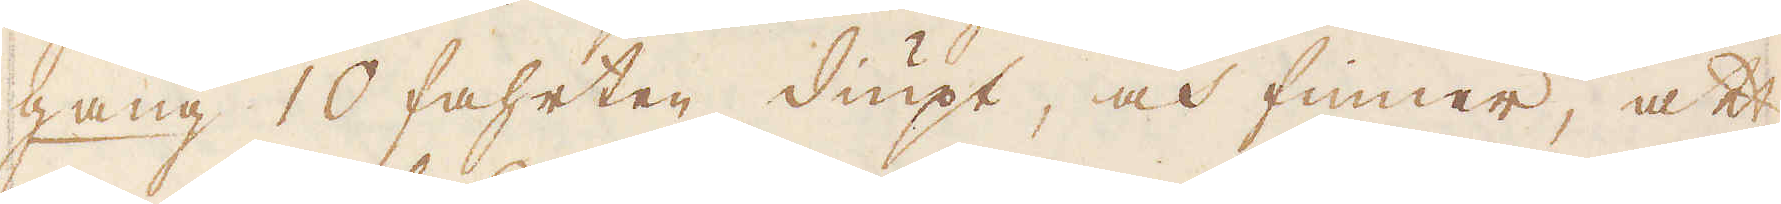gang 10 fahrten diupt, och finner, att
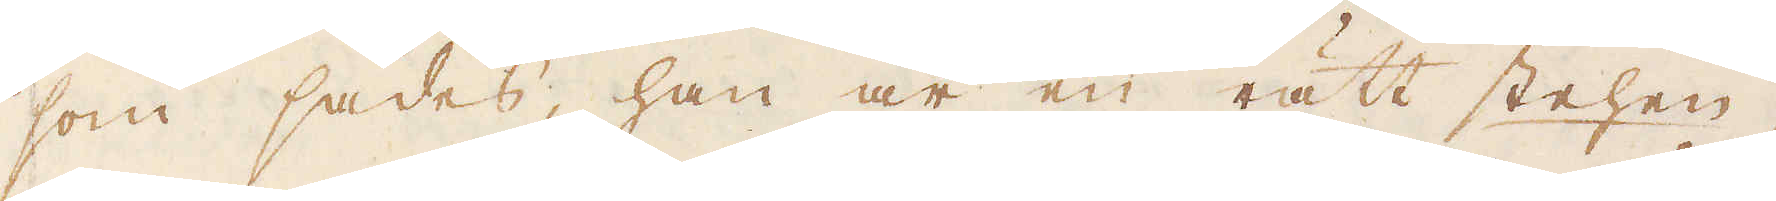som sades, han är en rätt stehen-
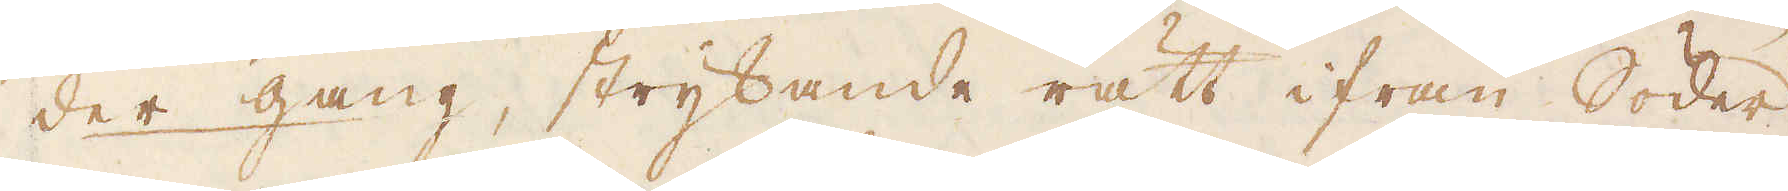der gang, strykande rätt ifrån Söder
